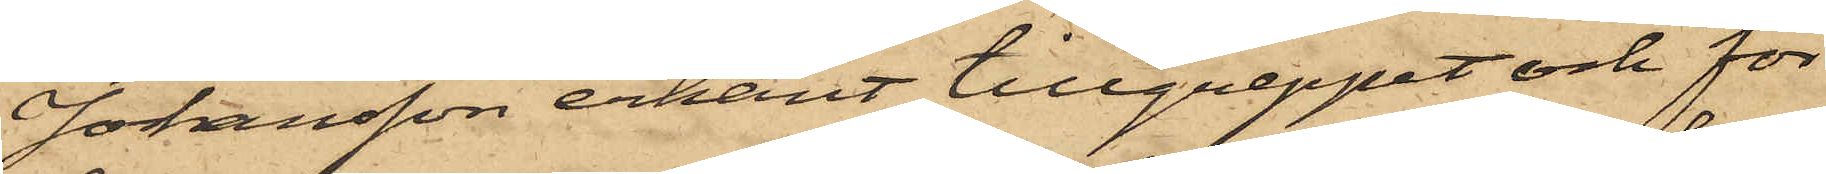Johansson erkänt tillgreppet och för
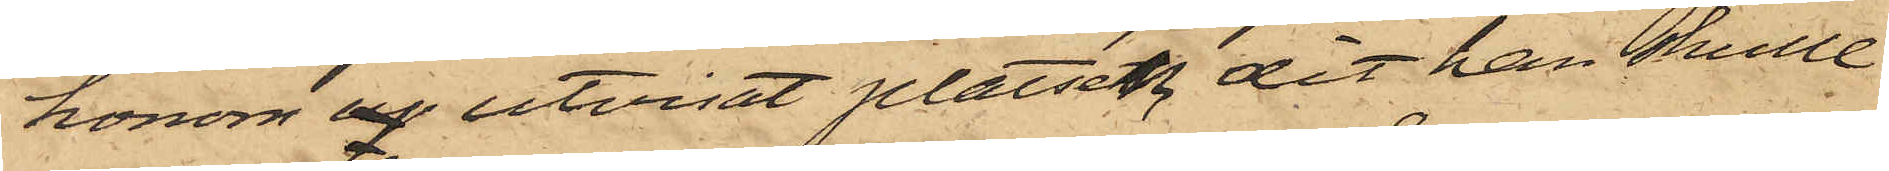honom af utvisat platsen, dit han skulle
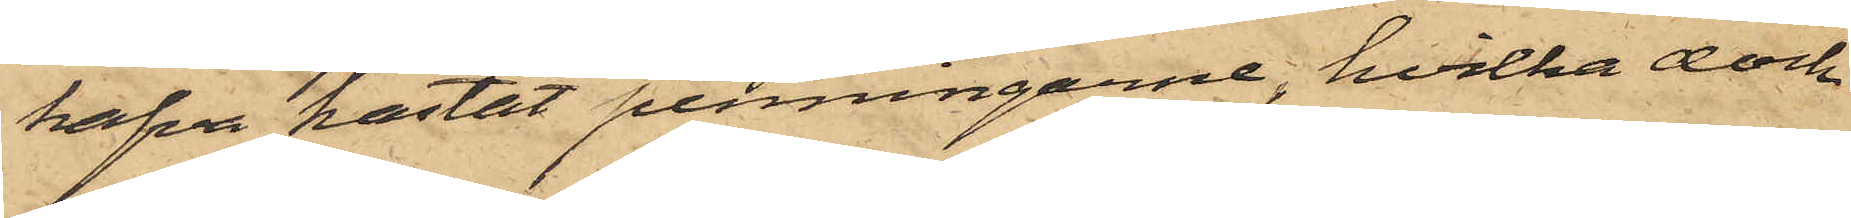hafva kastat penningarne, hvilka dock
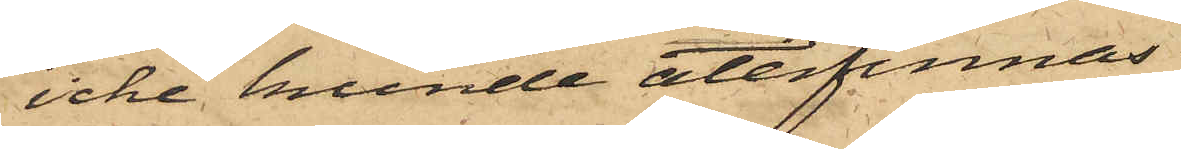icke kunde återfinnas.
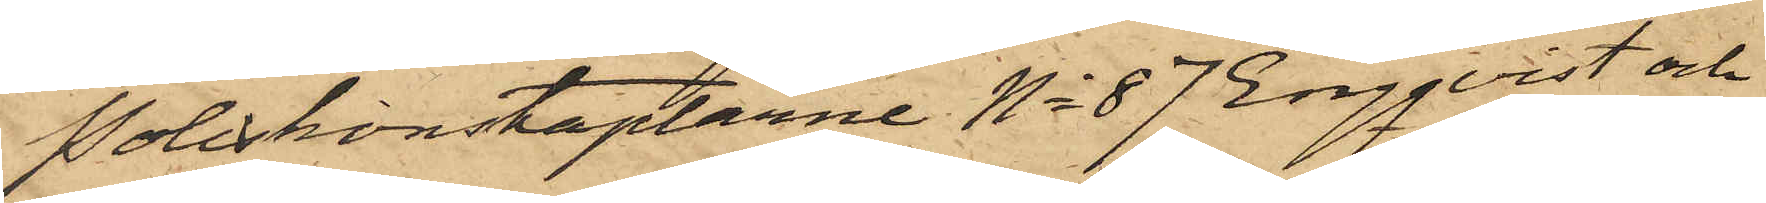Poliskonstaplarne No 87 Engqvist och
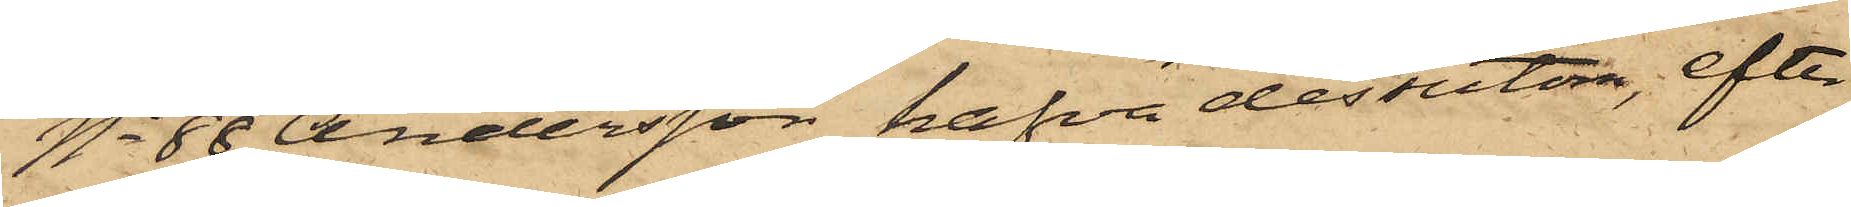No 88 Andersson hafva dessutom, efter
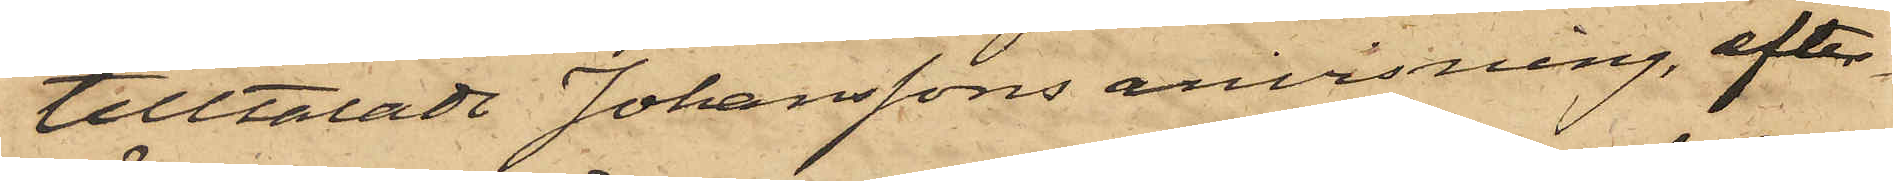tilltalade Johanssons anvisning, efter¬
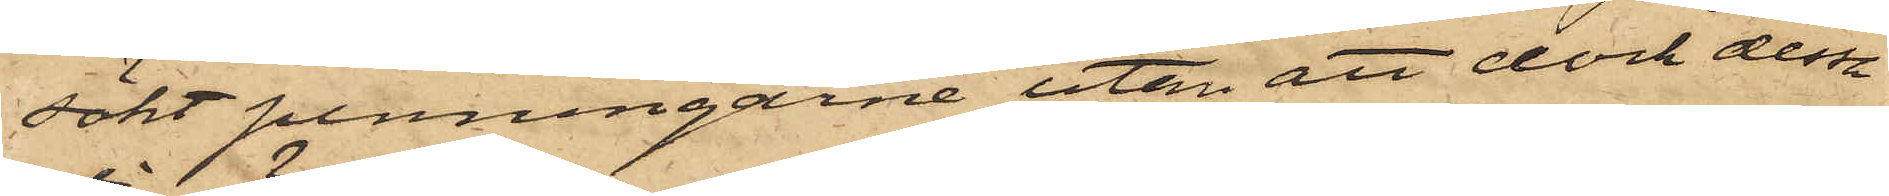sökt penningarne utan att dock dessa
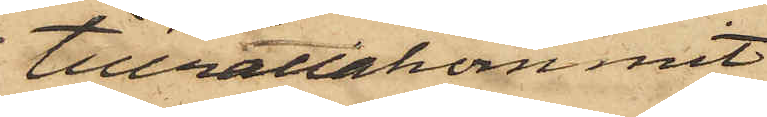tillrättakommit.
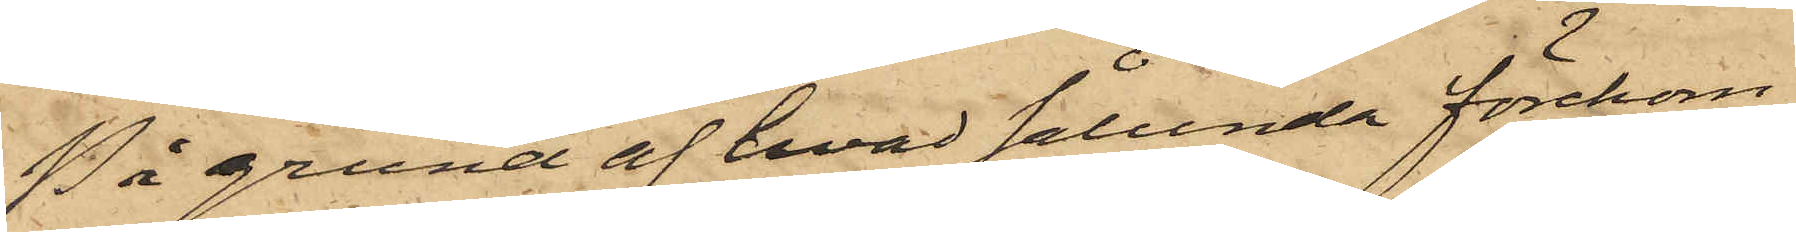På grund af hvad sålunda förekom¬
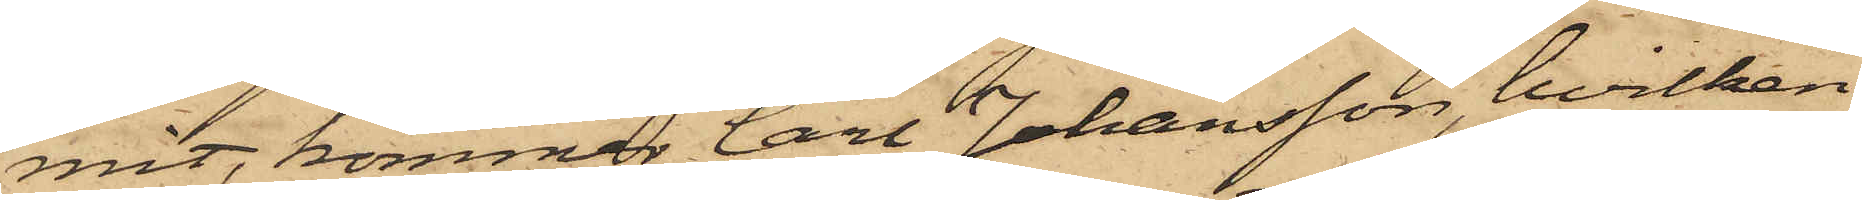mit, kommer Carl Johansson, hvilken
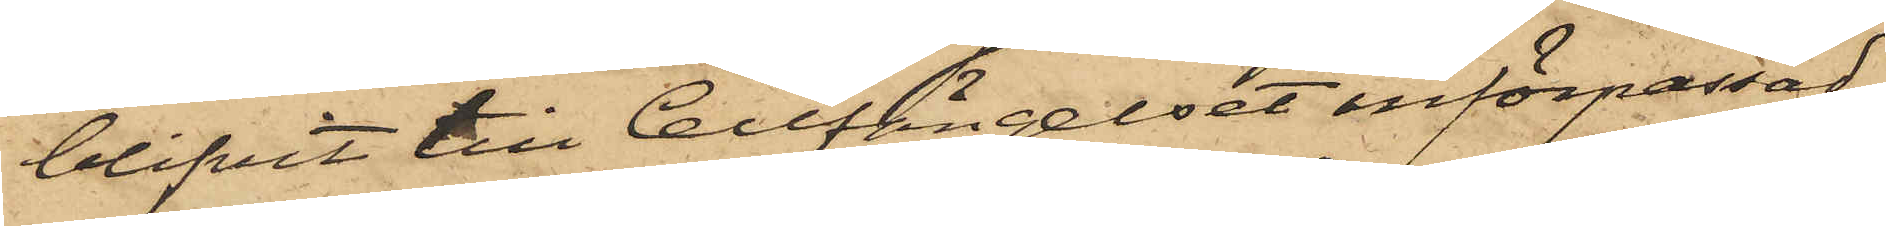blifvit till Cellfängelset införpassad,
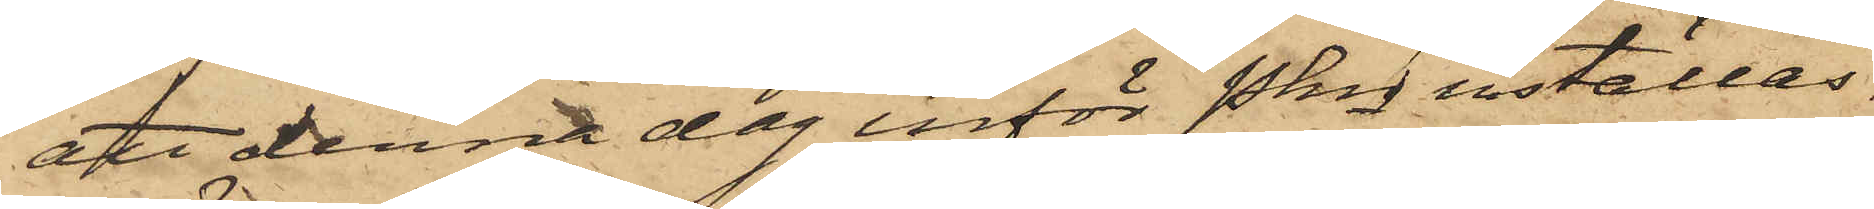att denna dag inför Pkn inställas.
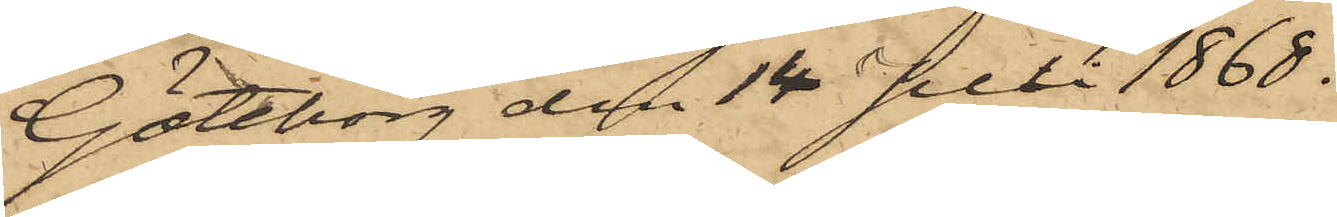Göteborg den 14 Juli 1868.
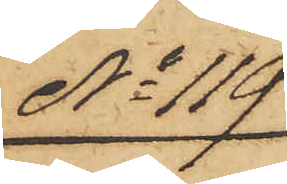No 119
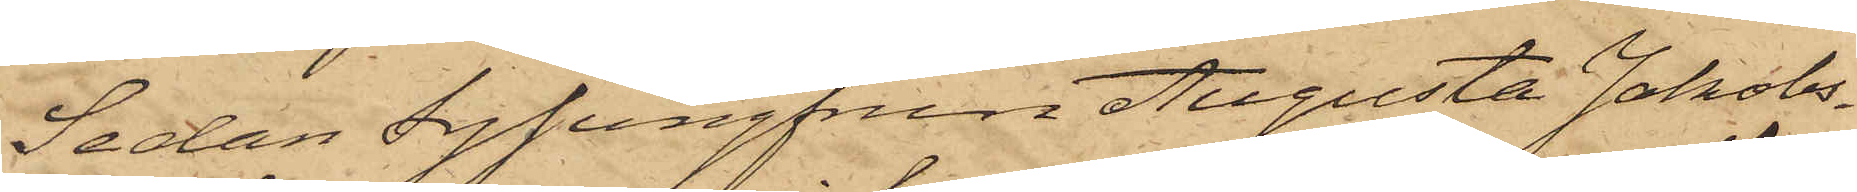Sedan Syjungfrun Augusta Jakobs¬
